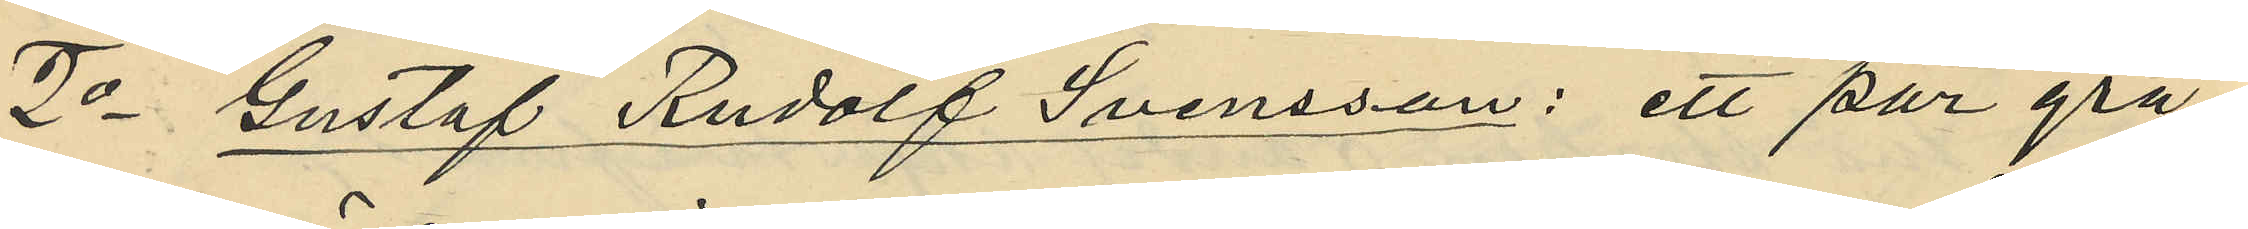2o Gustaf Rudolf Svensson: ett par grå
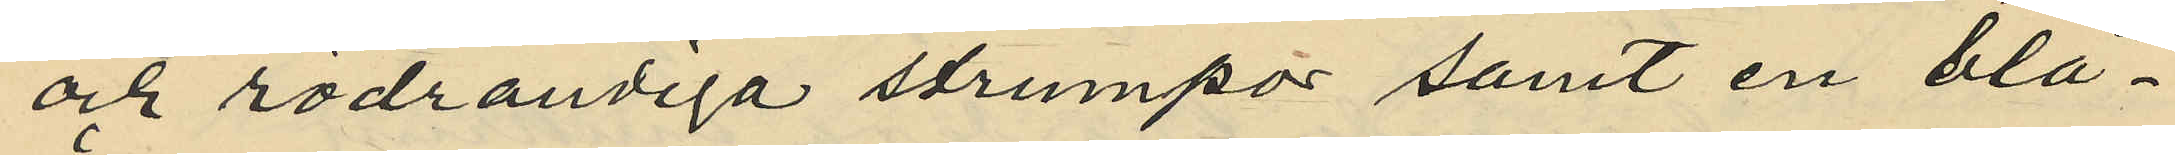och rödrandiga strumpor samt en blå¬
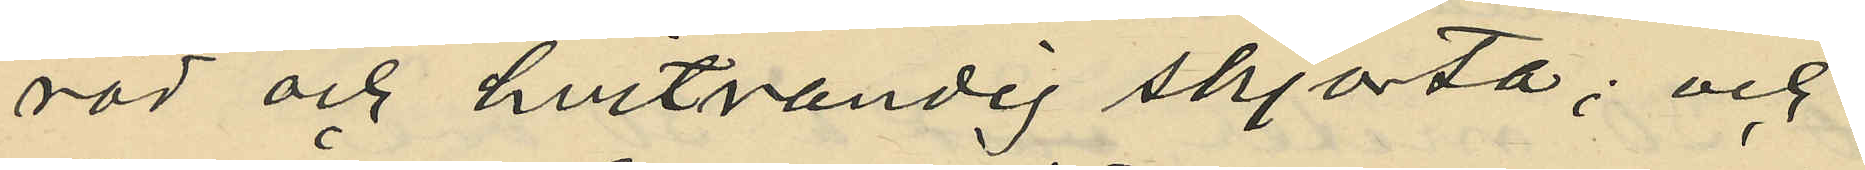röd och hvitrandig skjorta; och
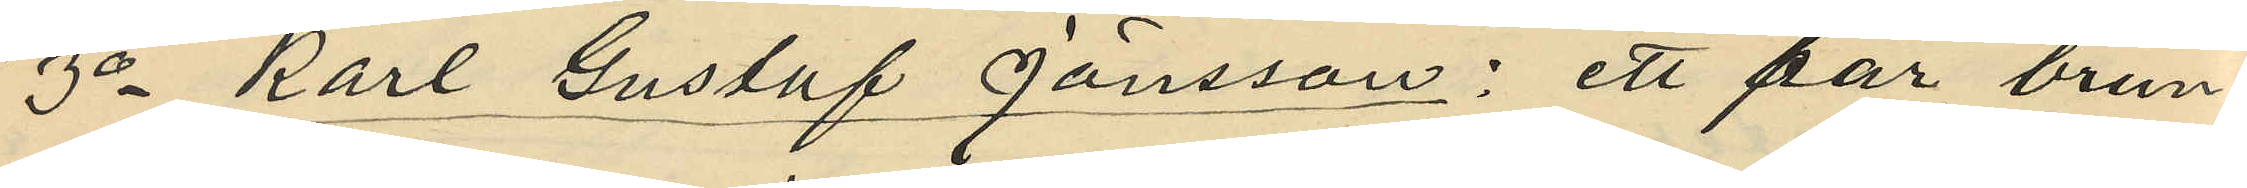3o Karl Gustaf Jansson: ett par brun¬
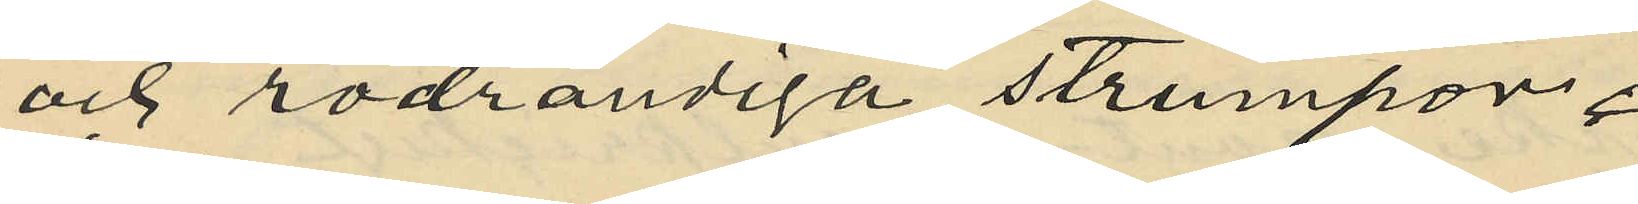och rödrandiga strumpor.
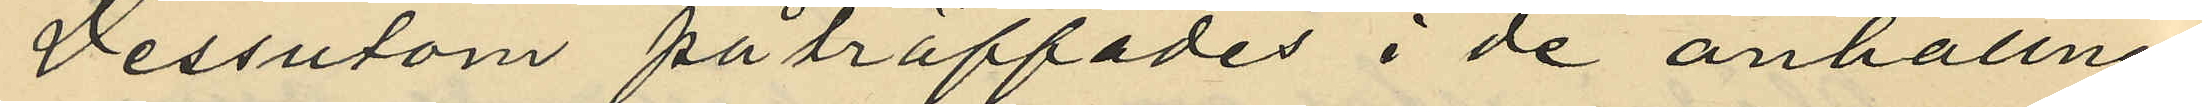Dessutom påträffades i de anhållnes
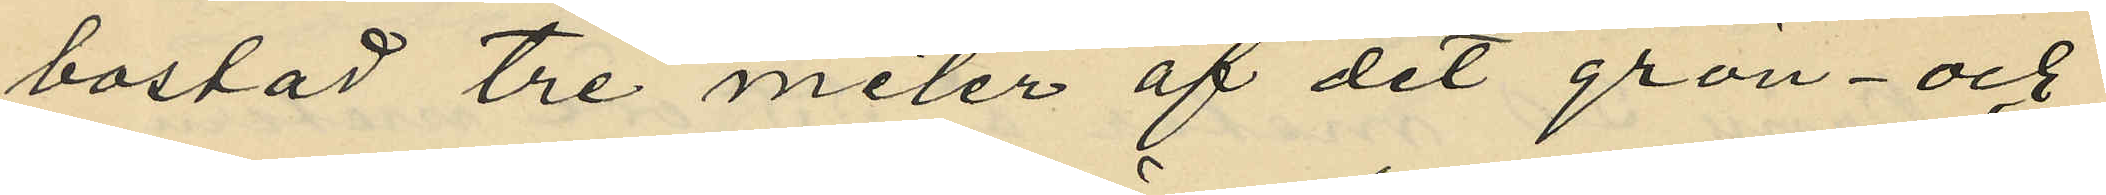bostad tre meter af det grön- och
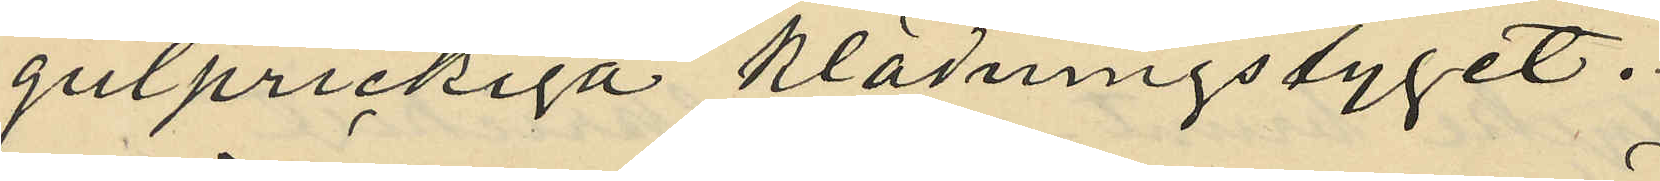gulprickiga klädningstyget.
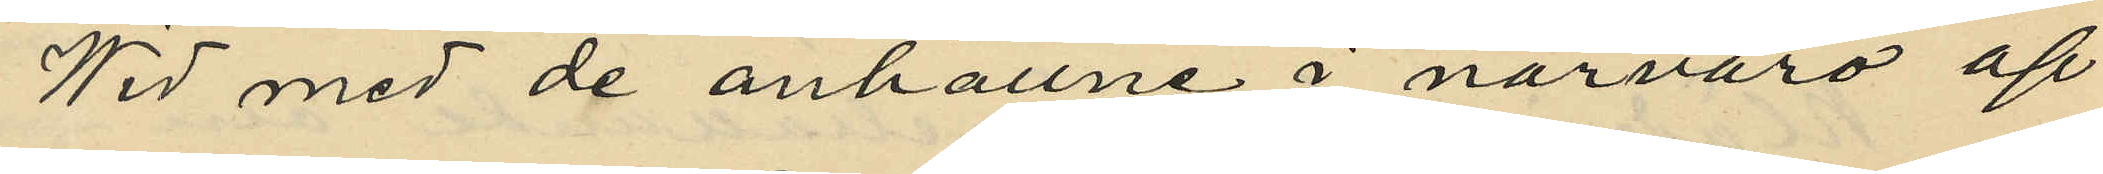Wid med de anhållne i närvaro af
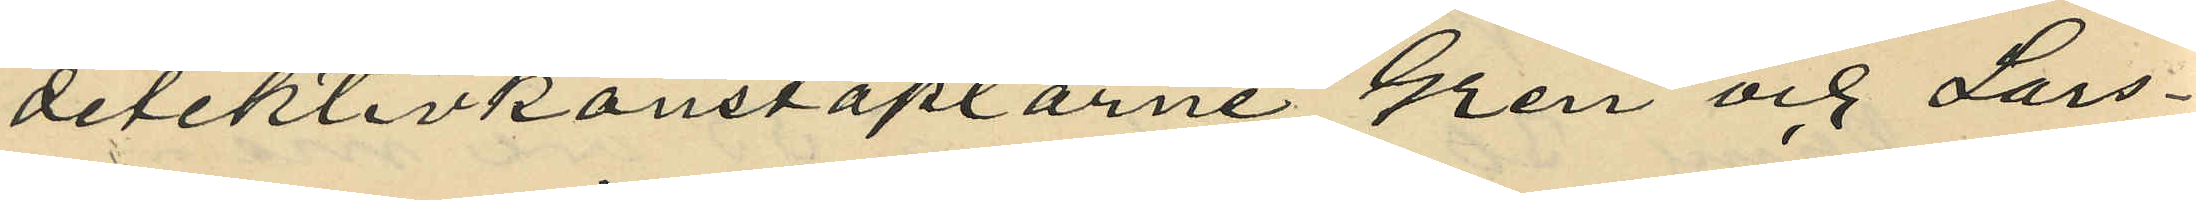detektivkonstaplarne Gren och Lars¬
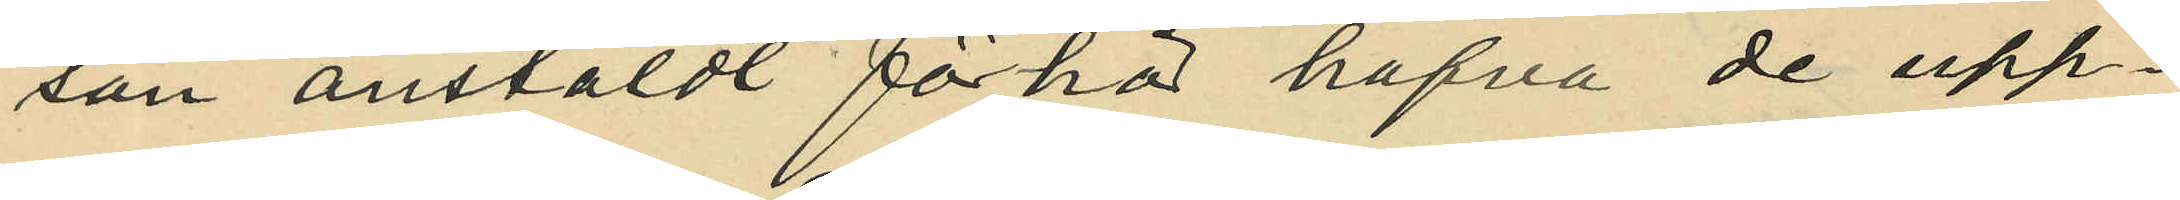son anstäldt förhör hafva de upp¬
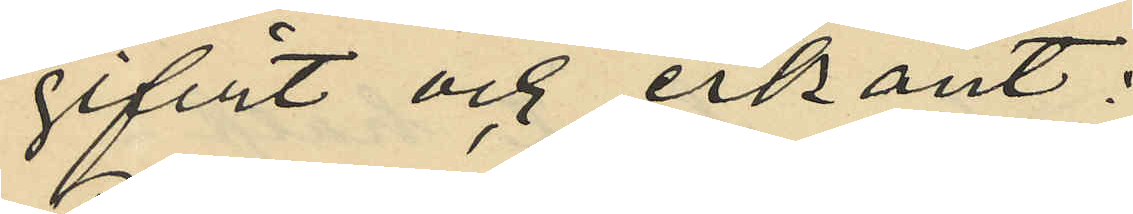gifvit och erkänt:
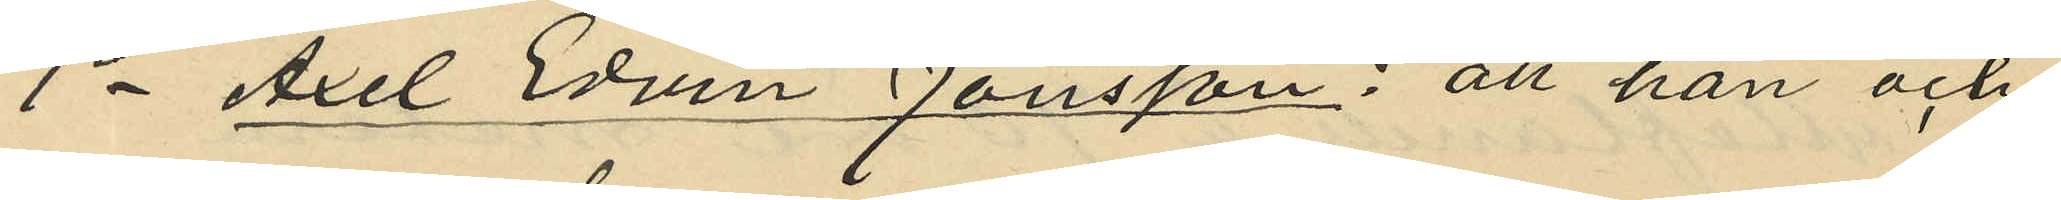1o Axel Edvin Jönsson: att han och
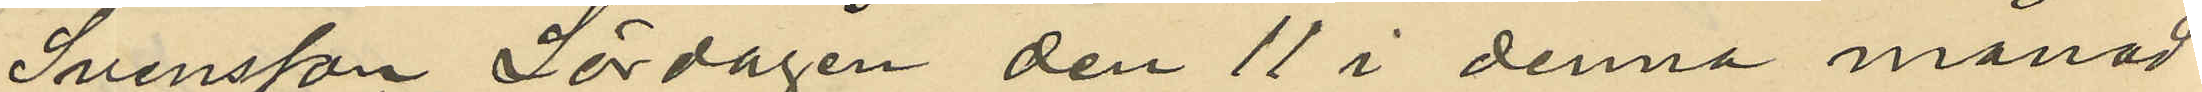Svensson Lördagen den 11 i denna månad
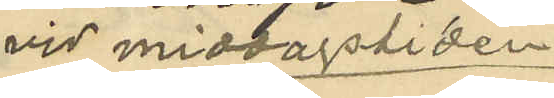vid middagstiden
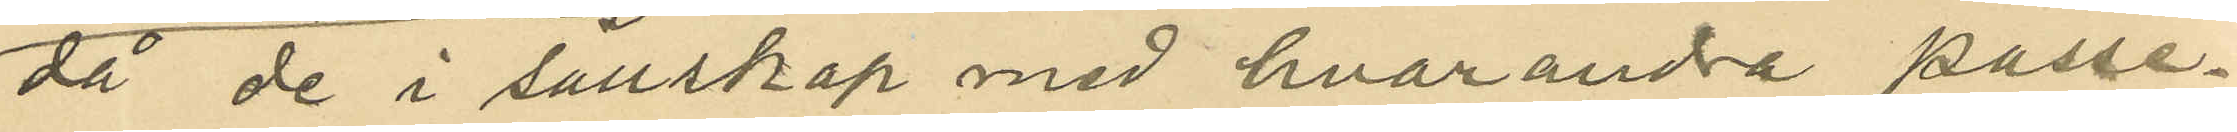då de i sällskap med hvarandra passe¬
